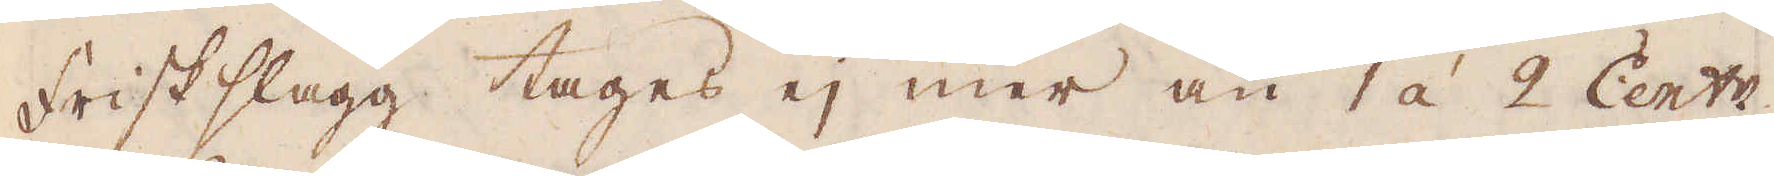Frisk slagg tages ej mer än 1 á 2 Cent:r,
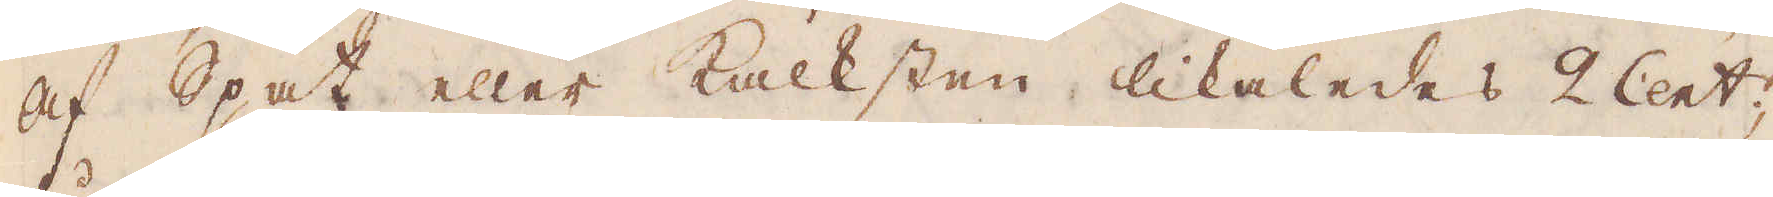af Spat eller kalksten likaledes 2 Cent:r,
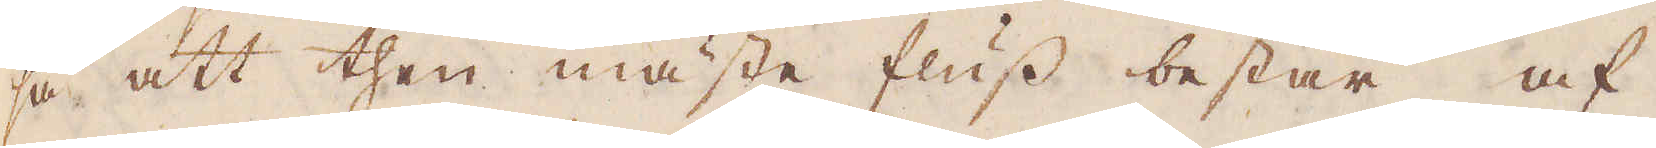så att then mäste fluss består af
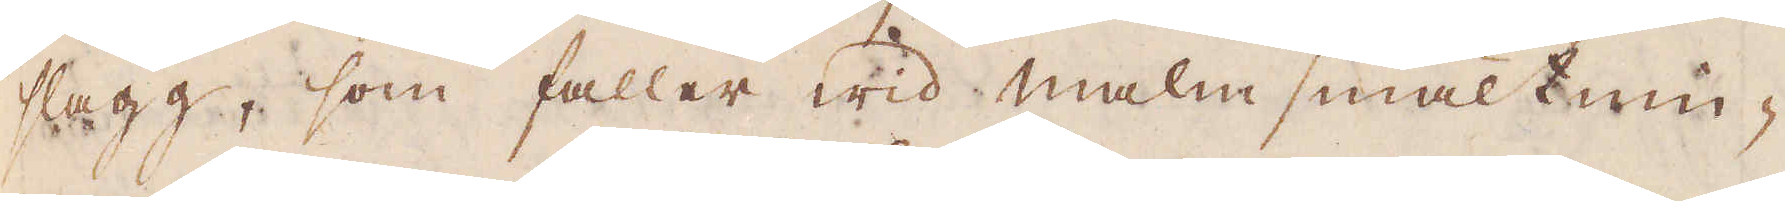slagg, som faller wid malmsmältnin-
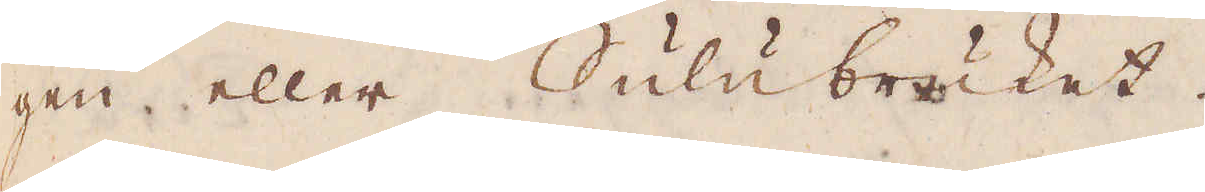gen eller Sulubruket.
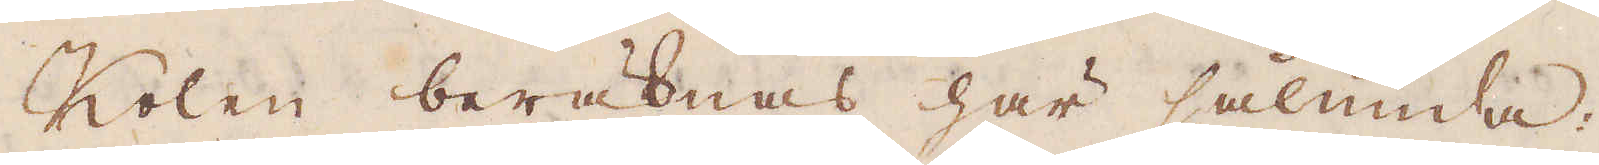Kolen beräknas här sålunda:
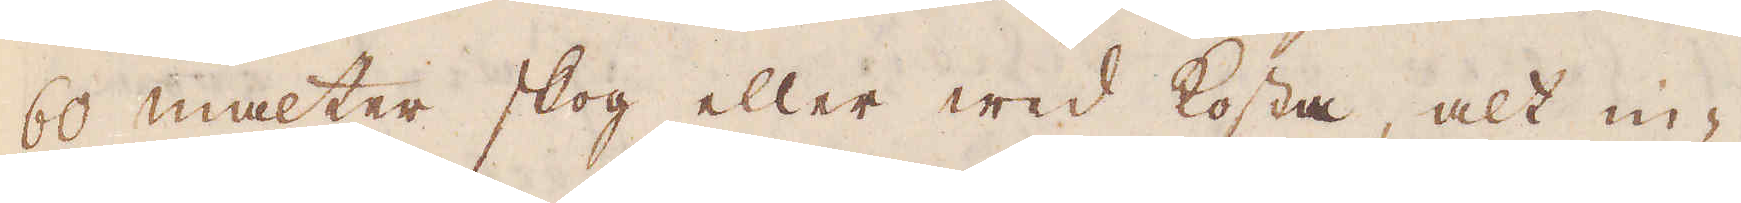60 malter skog eller wed kosta, alt in-
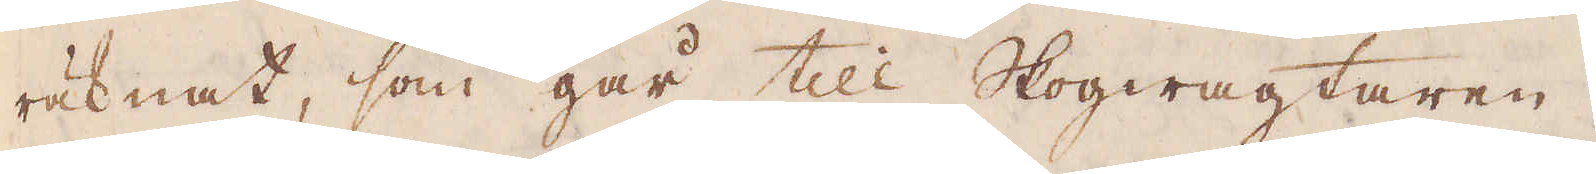räknat, som går till Skogwagtaren,
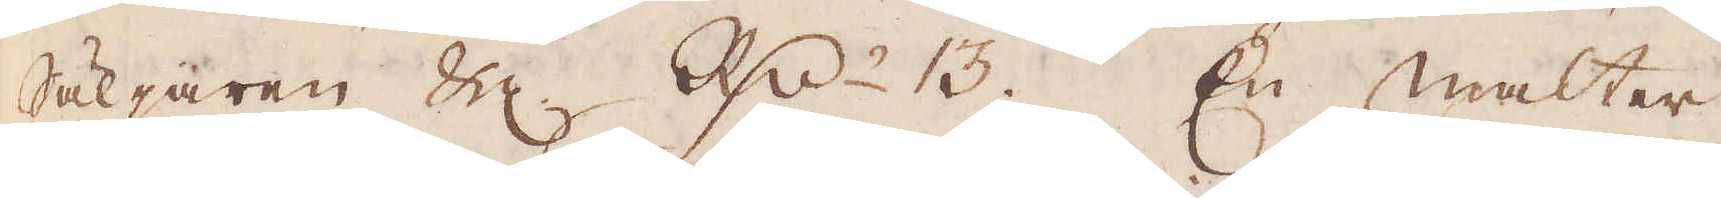Säljaren &c. Rd:r 13. En malter
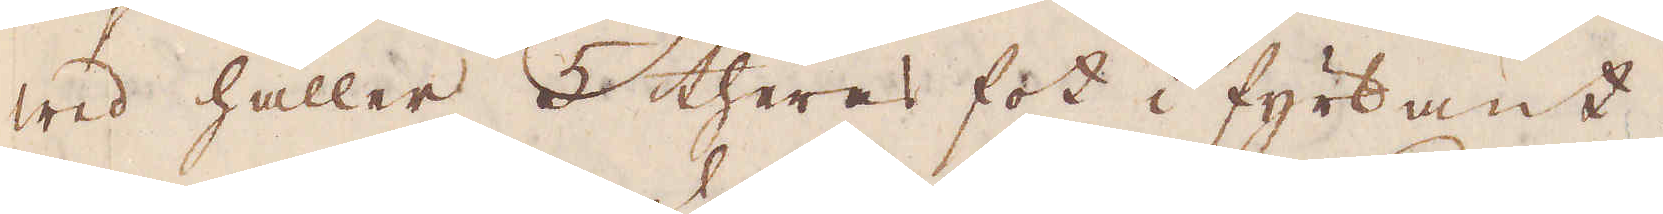wed håller 5 theras fot i fyrkant.
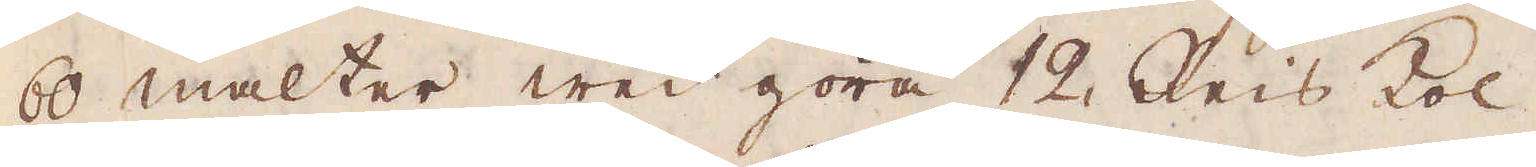60 malter wed göra 12 Reis kol.
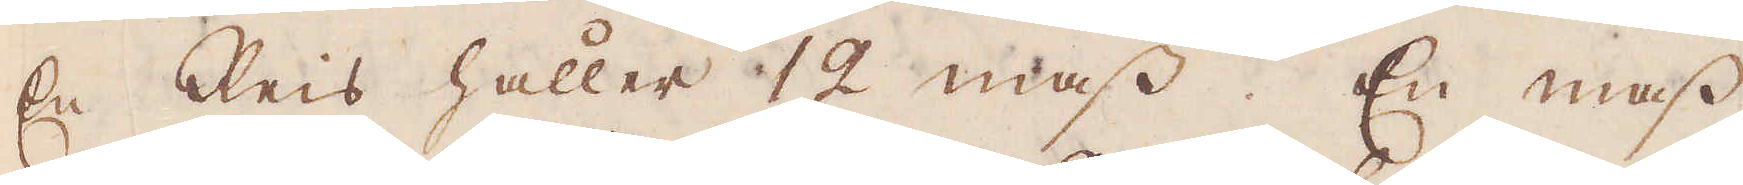En Reis håller 12 mass. En mass
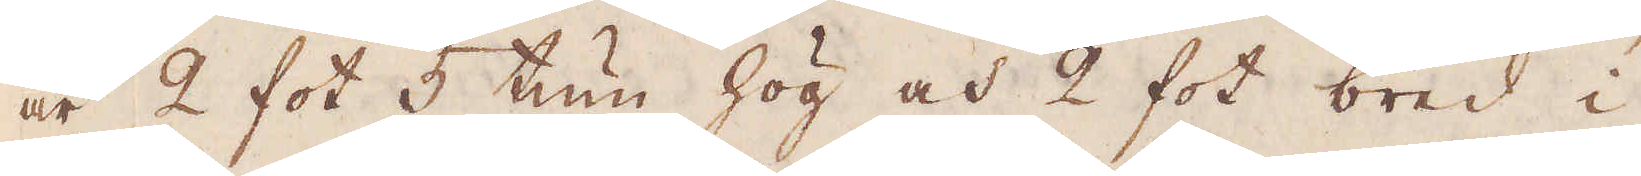är 2 fot 5 tum hög och 2 fot bred i
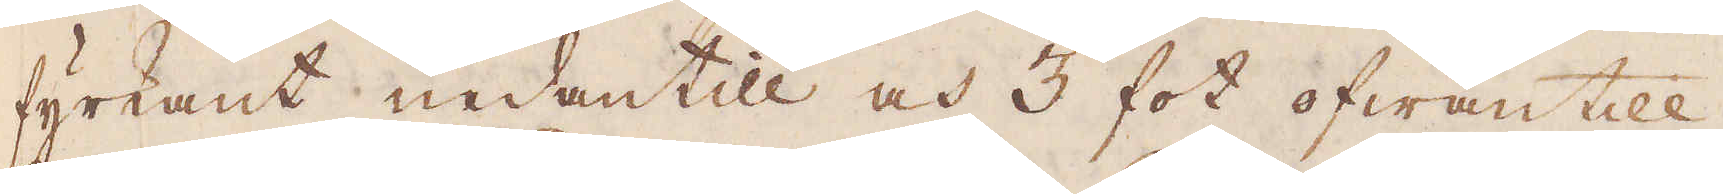fyrkant nedantill och 3 fot ofwantill,
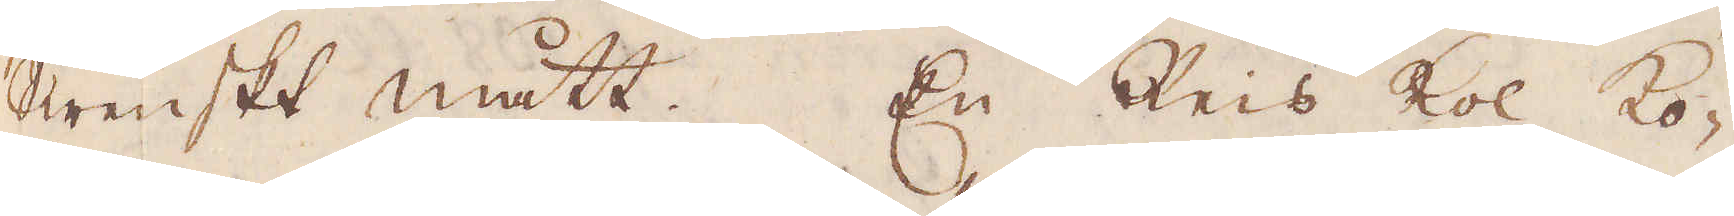Swenskt mått. En Reis kol ko-
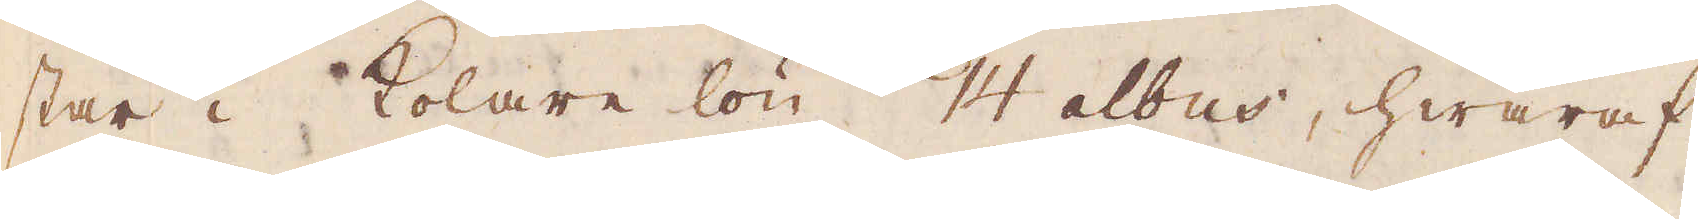star i kolare lön 14 albus, hwaraf
